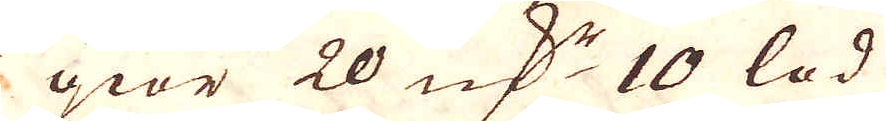giör 20 qv:r 10 lod
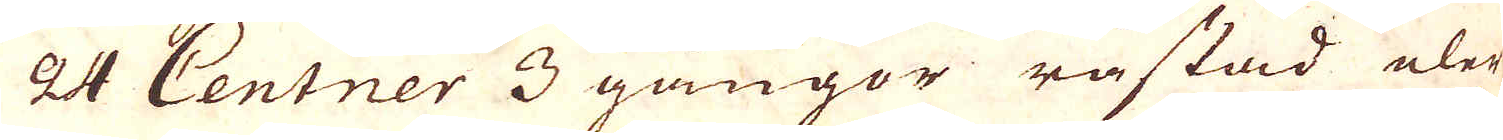24 Centner 3 gångor råstad eler
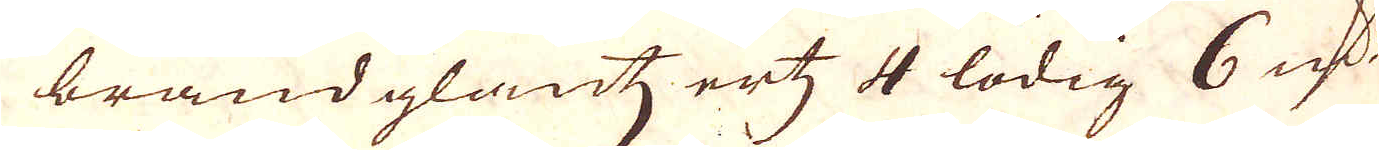brandglantz ertz 4 lödig 6 qv:r
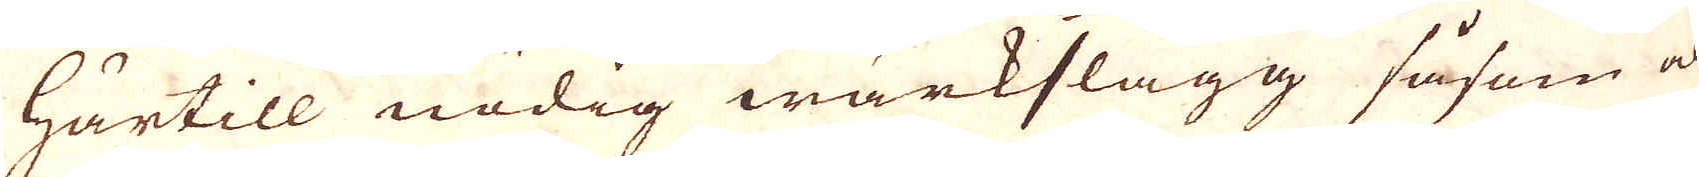Härtill nödig wärkslagg såsom ock
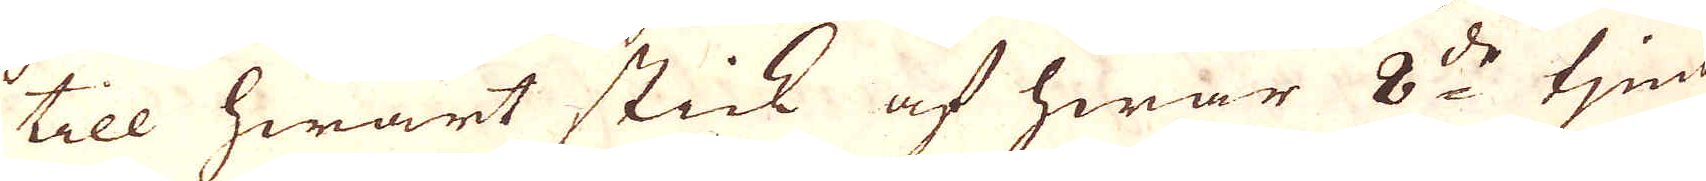till hwart stick af hwar 8:de tjena
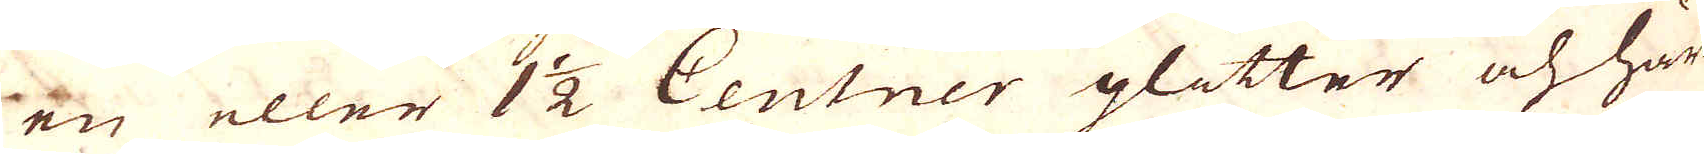en eller 1 1/2 Centner glitter och här
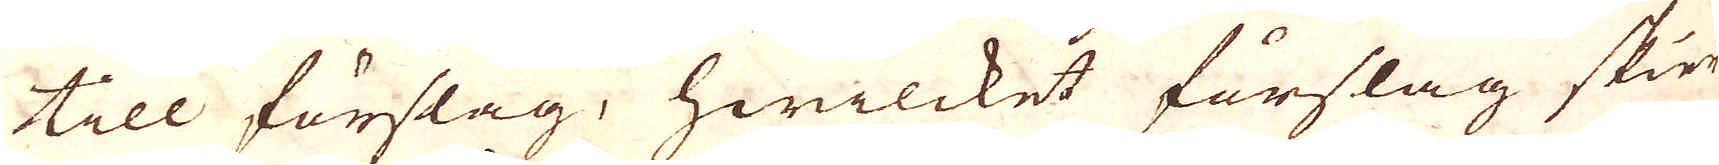till förslag, hwilcket förslag skier
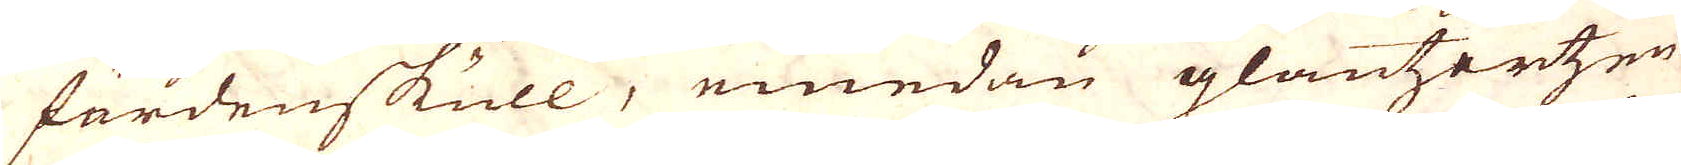fördenskull, emedan glantzertzen
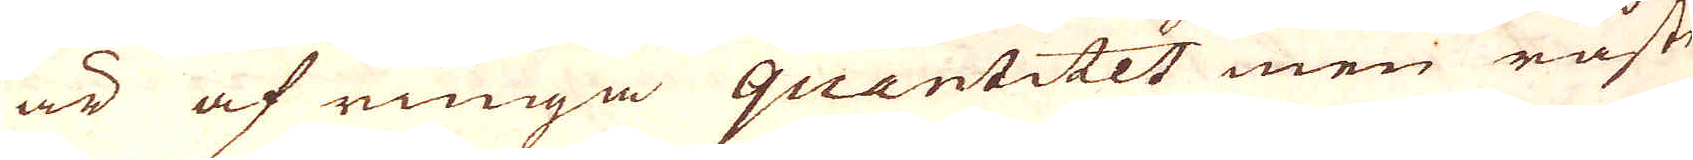är af ringa quantitet men råste
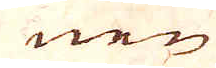nen
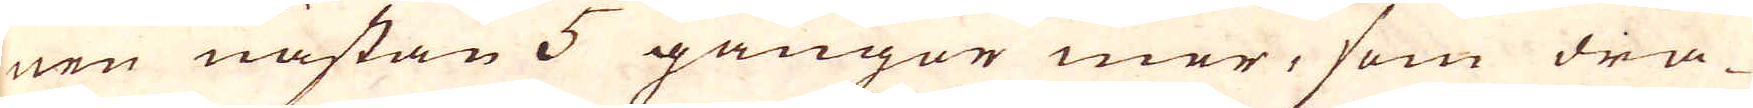nen nästan 5 gångor mer, som dra-
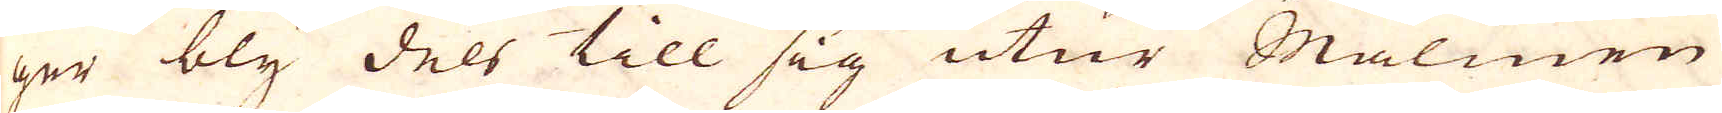ger bly dels till sig utur Malmen
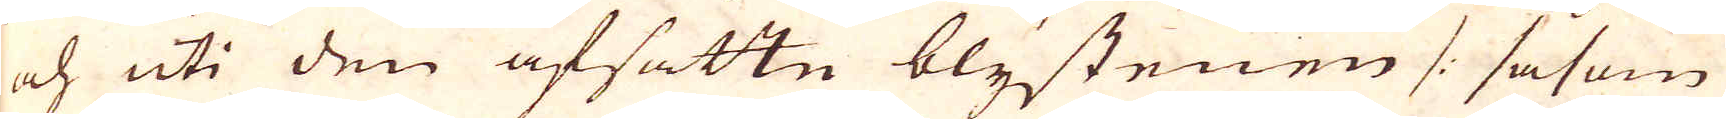och uti den afsatte blystenen /: såsom
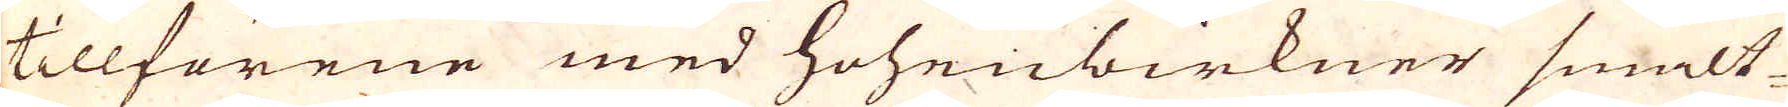tillförene med hoheubirkner smält-
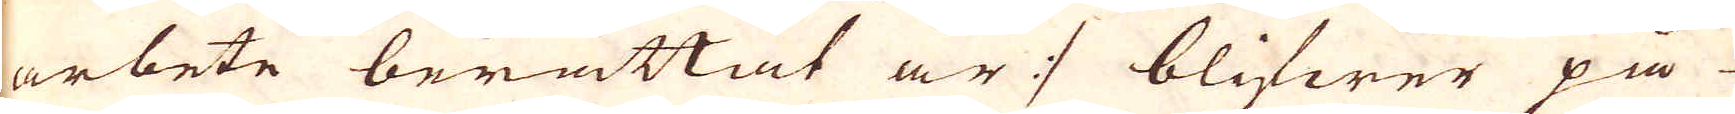arbete berättat är :/ blifwer på
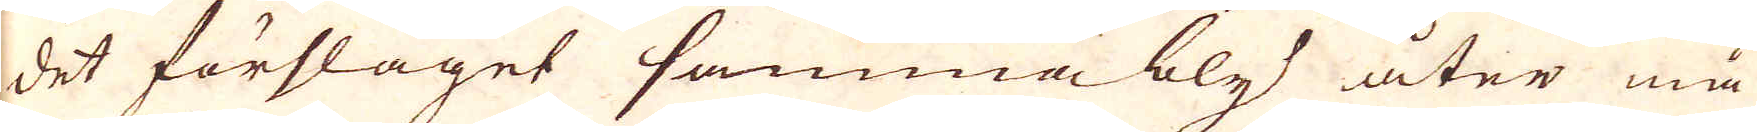det förslaget samma bly åter må
